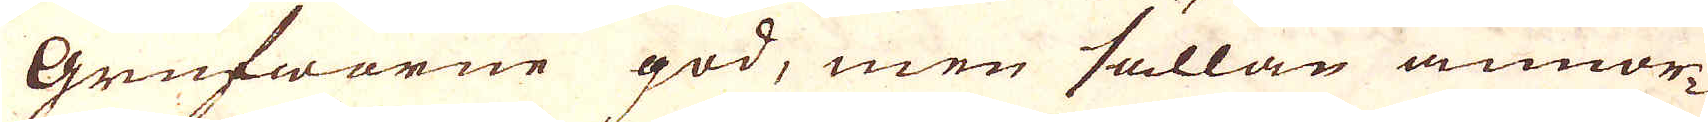Grufworne god, men sällan annor-
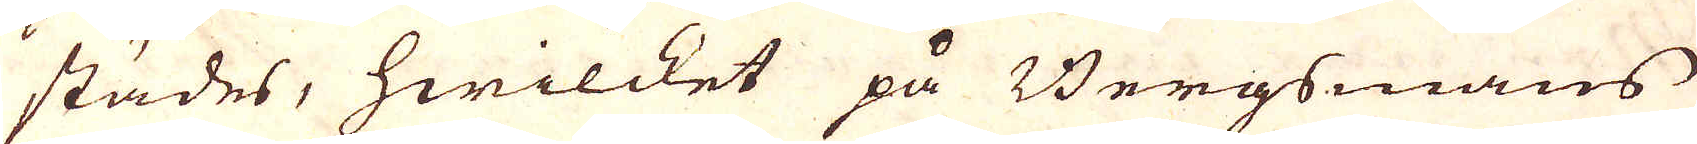städes, hwilcket på Bergsmans
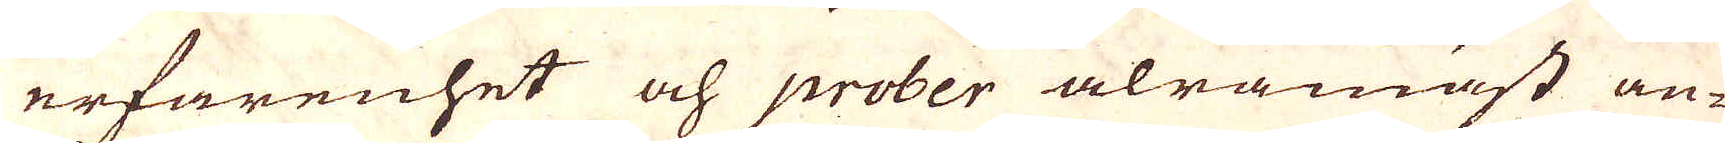erfarenhet och prober alramäst an-
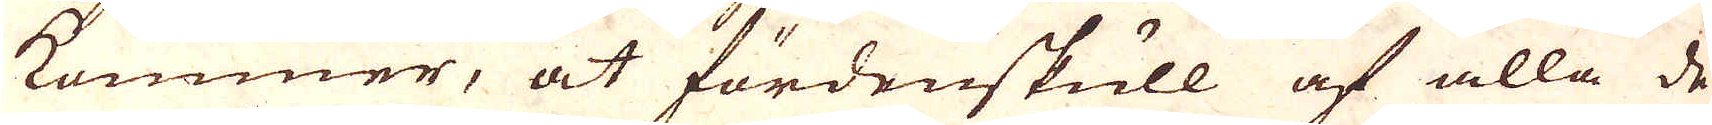kommer, at fördenskull af alla de
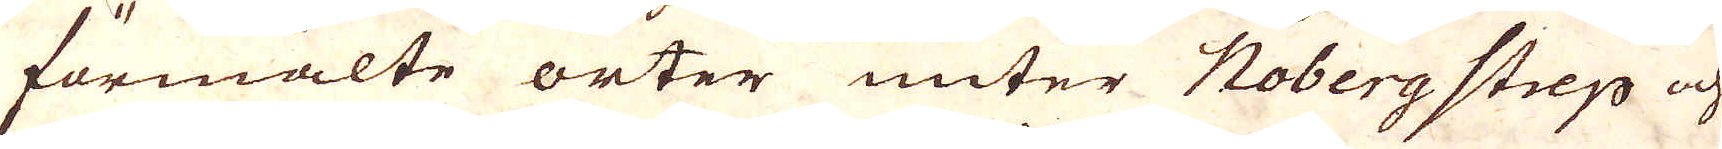förmälte orter unter Nobergstrep och
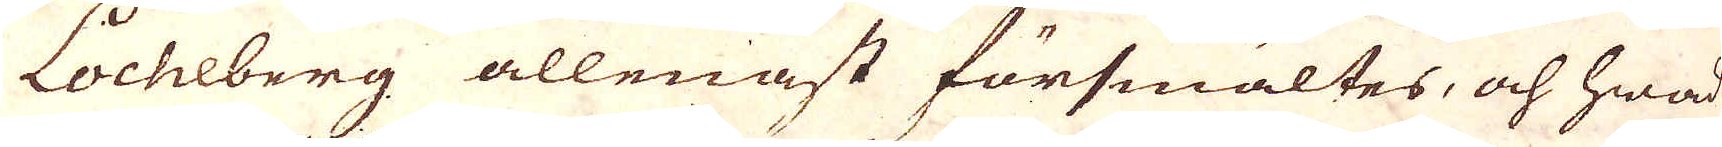Locheberg allenast försmältes, och hwad
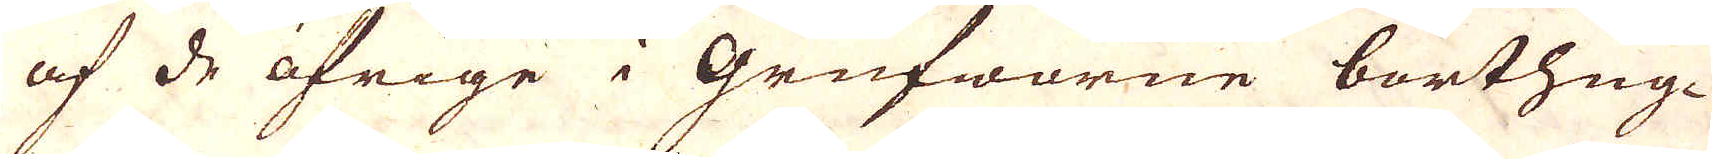af de öfrige i Grufworne borthug-
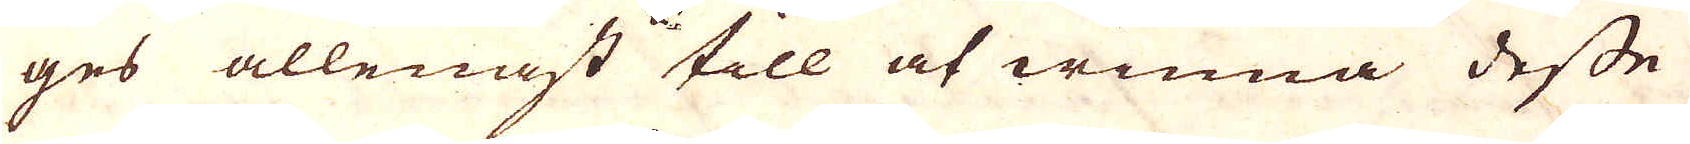ges allenast till at winna desse
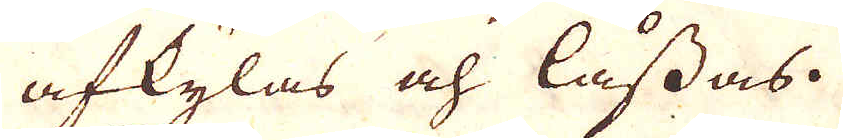afkylas och låssas.
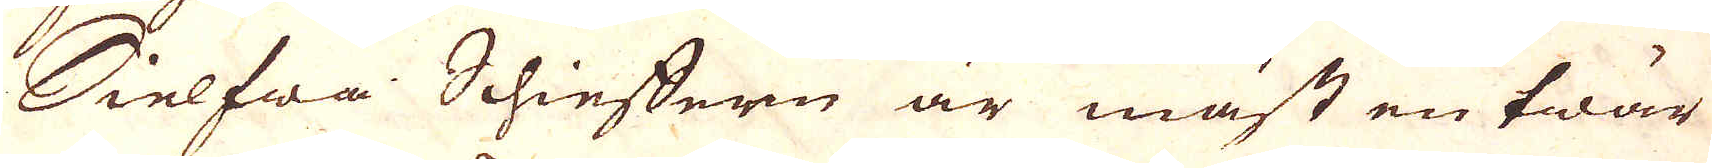Sielfwa Schieffern är mäst en twär
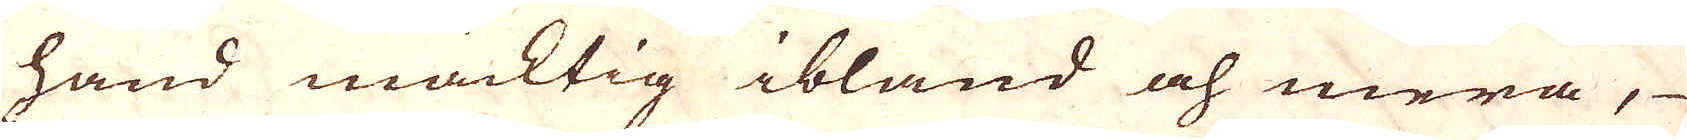hand mäcktig ibland och mera,
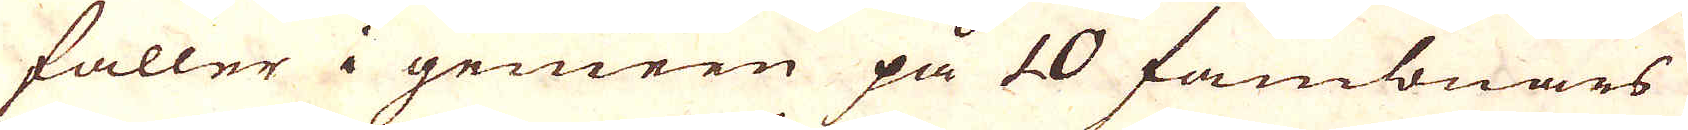faller i gemen på 10 fambnars
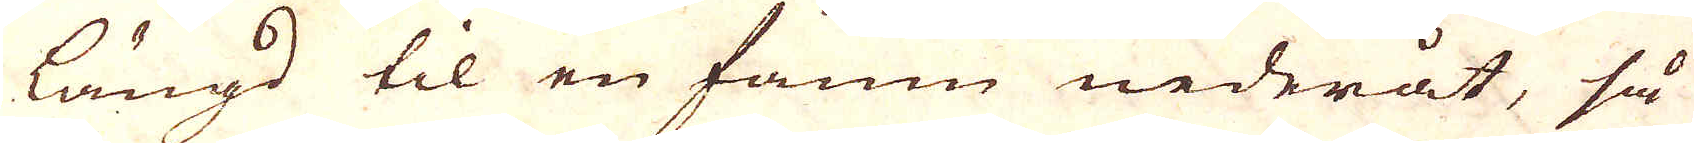längd til en famn nederåt, så
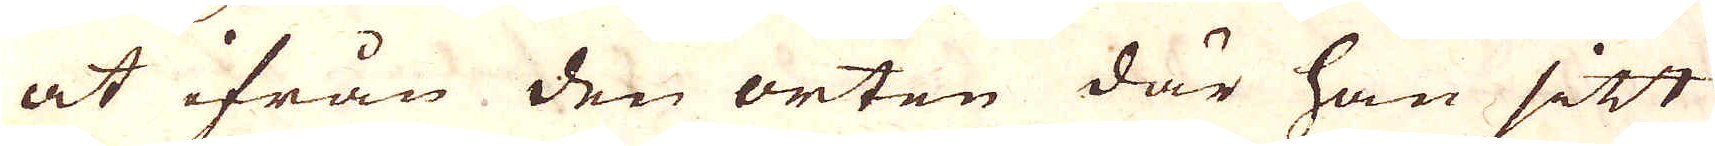at ifrån den orten där han sitt
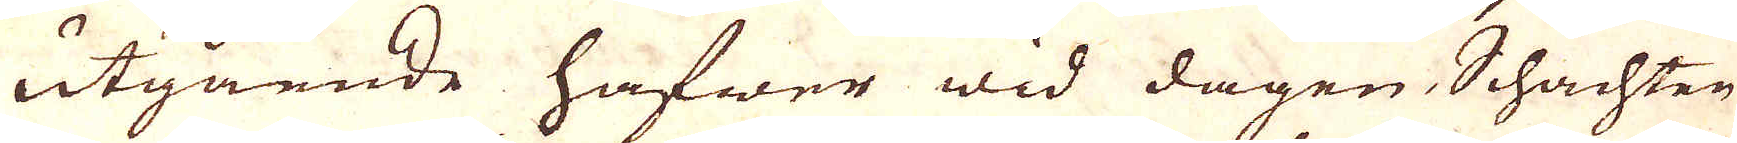utgående hafwer wid dagen Schachten
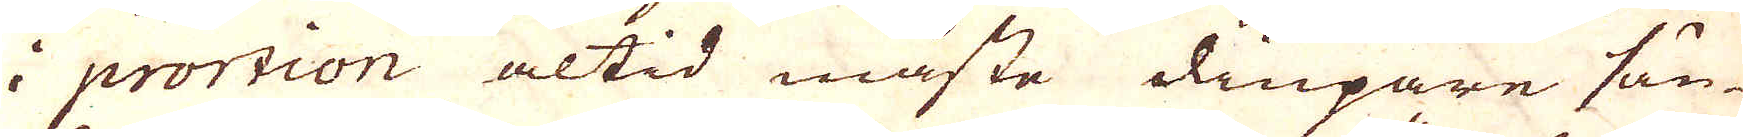i prortion altid måste diupare sän-
